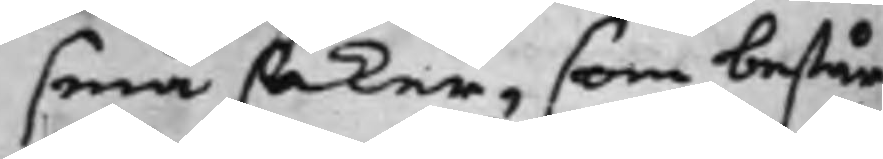små saker, som består
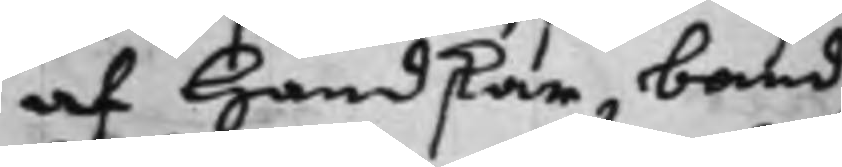af Handskar, band,
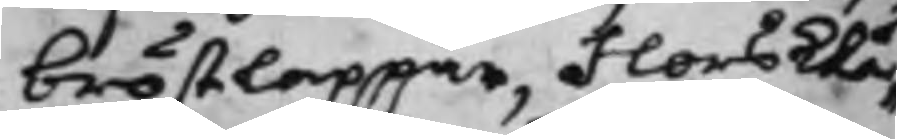bröstlappar, Flors Klä¬
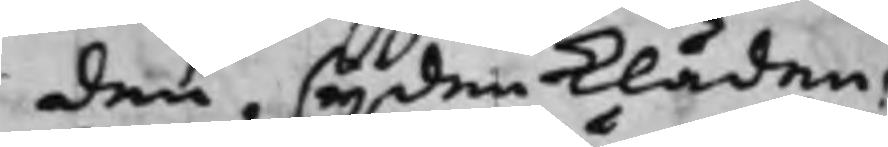den, sijden Kläden,
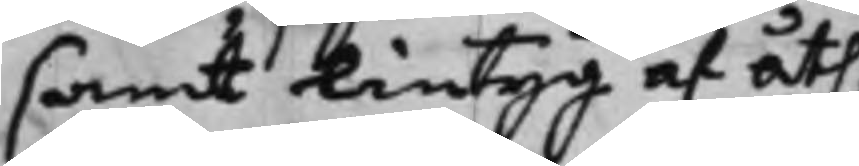samt Lintyg af åth¬
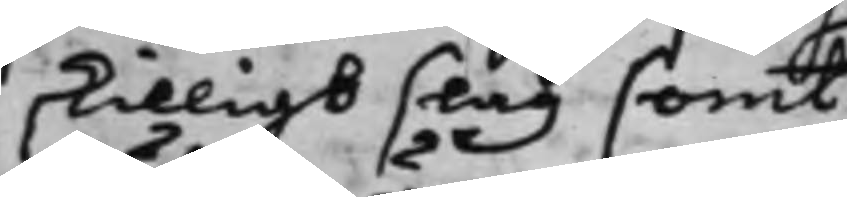skilligt slag samt
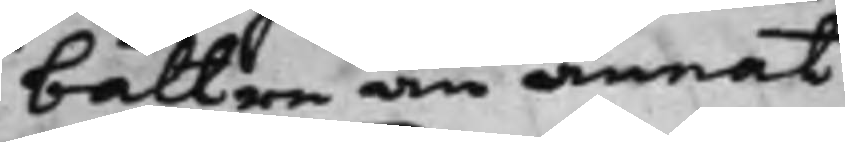bättre än annat
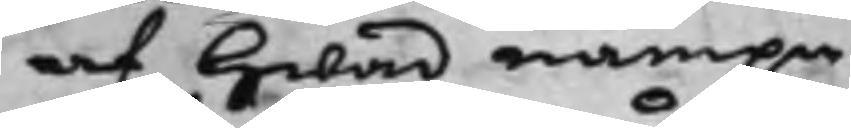af hwad nampn
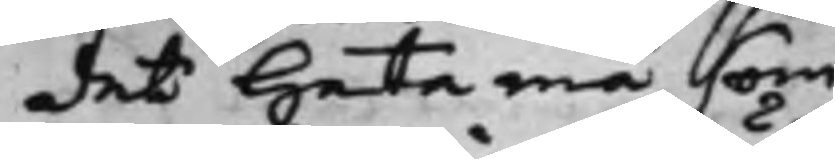des heta må som
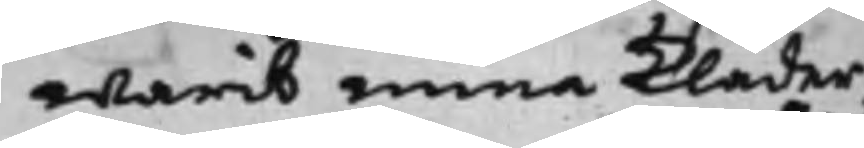warit mina Kläder,
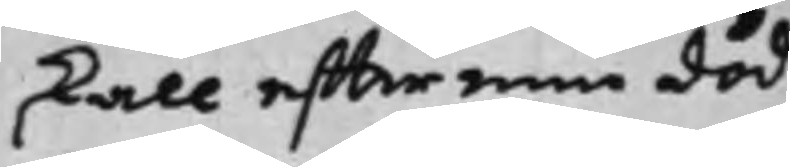skall effter min död
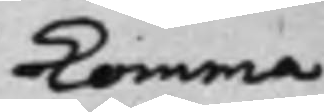komma
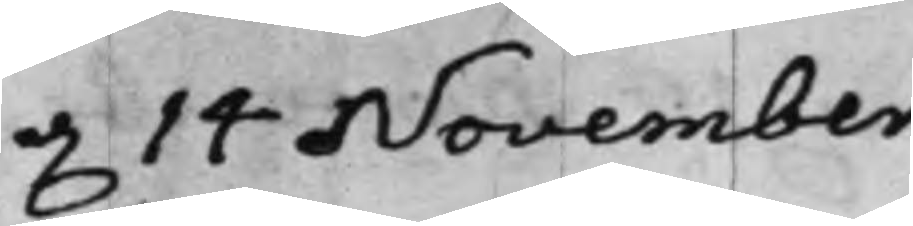d. 14 November.
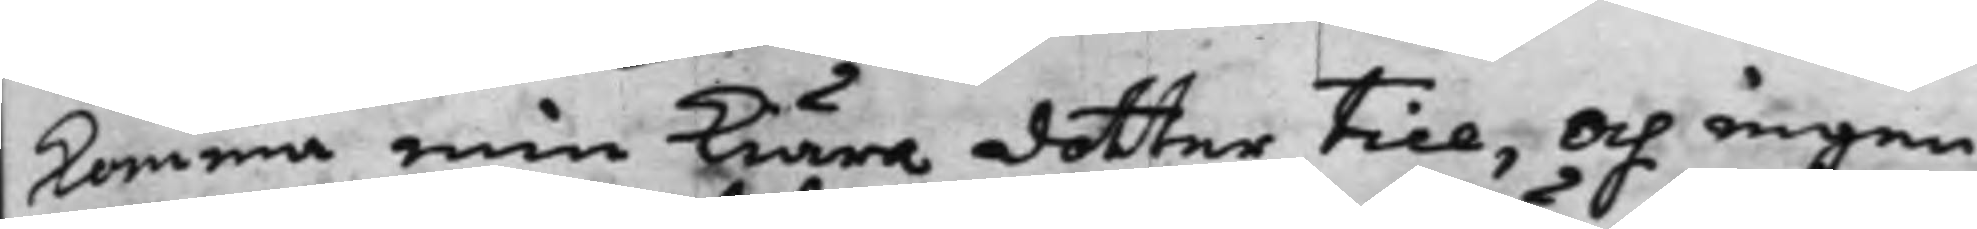komma min Kiära dotter till, och ingen
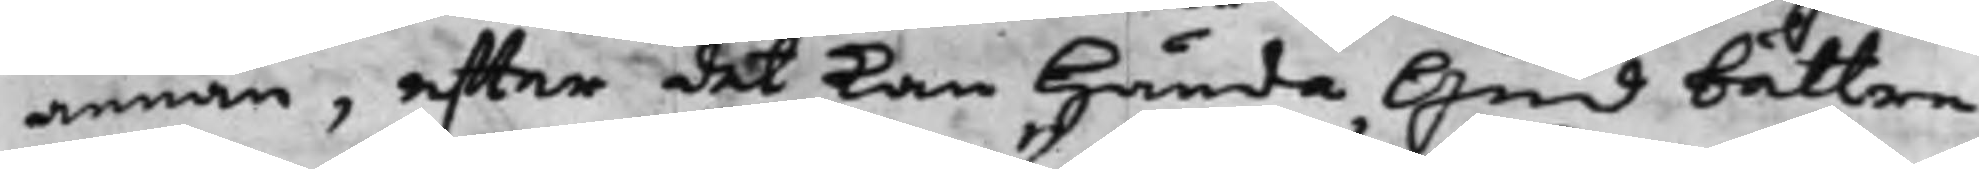annan, effter det kan hända Gud bättre,
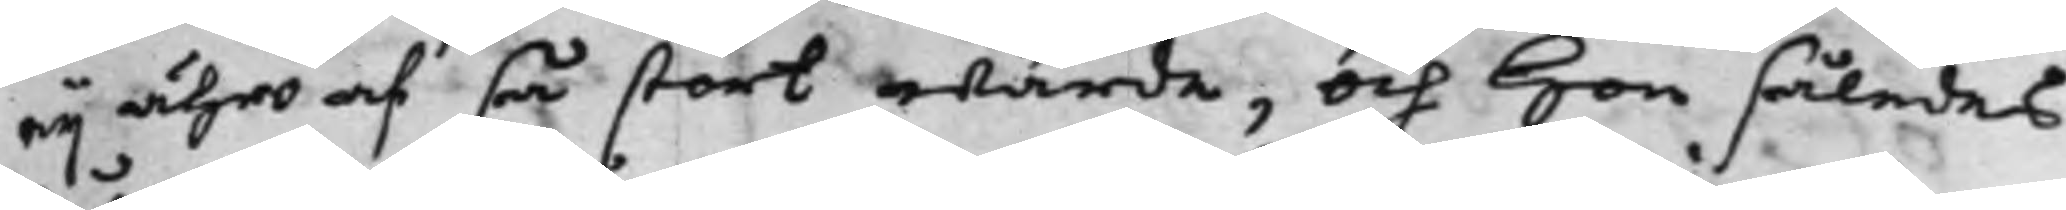eij äro af så stort wärde, och hon således
